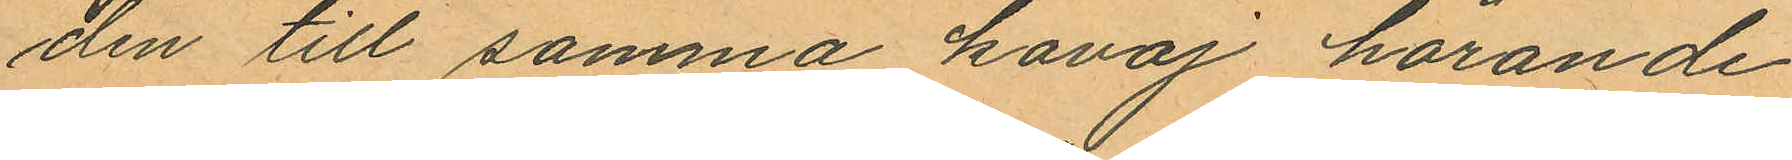den till samma kavaj hörande
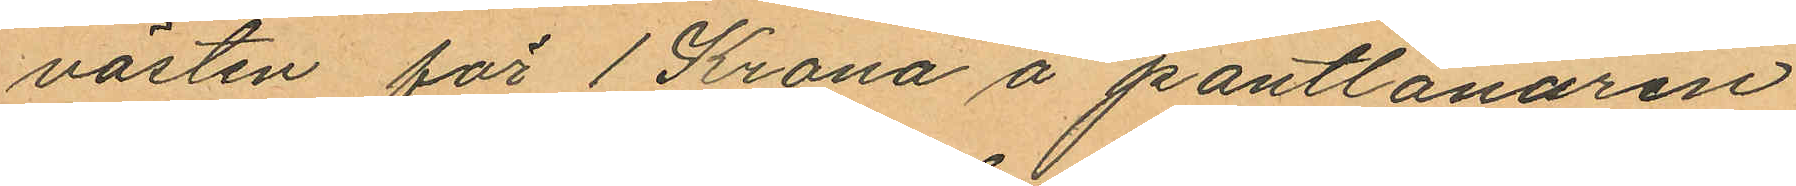västen för 1 Krona å pantlånaren
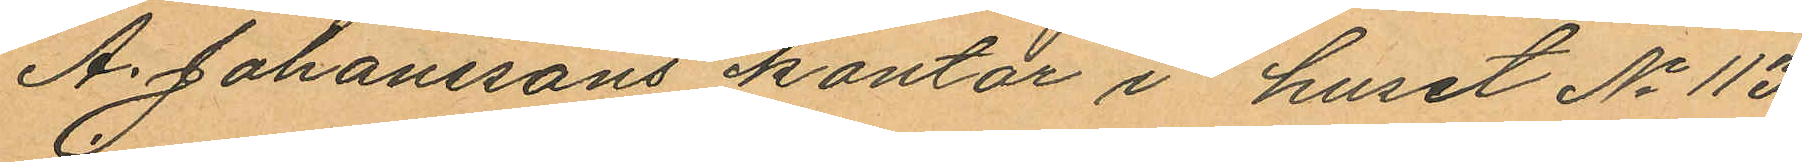A. Johanssons kontor i huset No 113
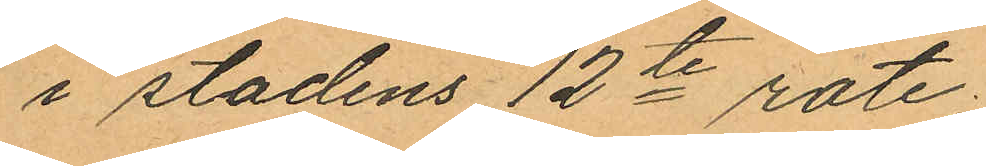i stadens 12te rote;
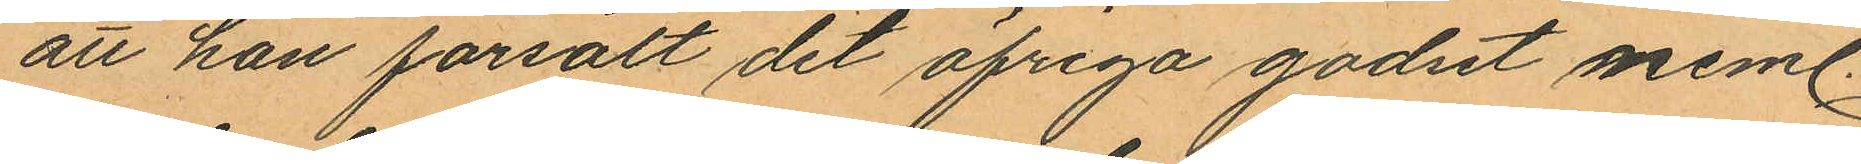att han försålt det öfriga godset neml.
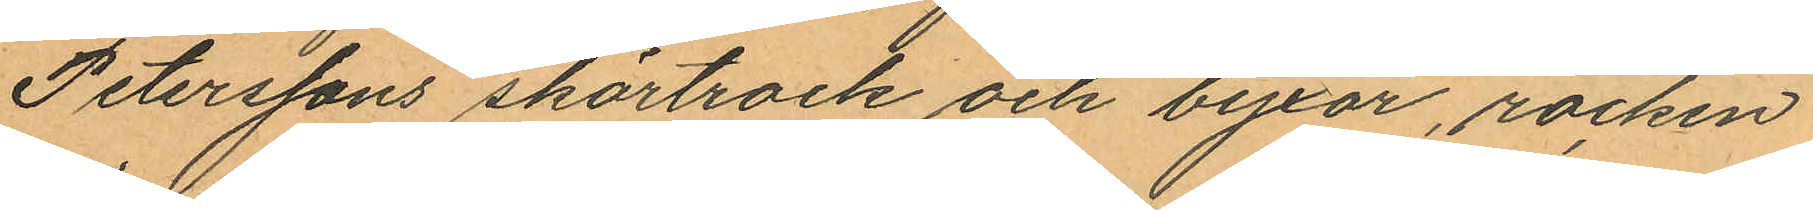Peterssons skörtrock och byxor, rocken
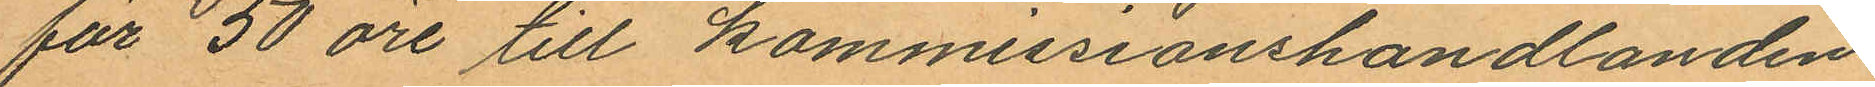för 50 öre till kommissionshandlanden
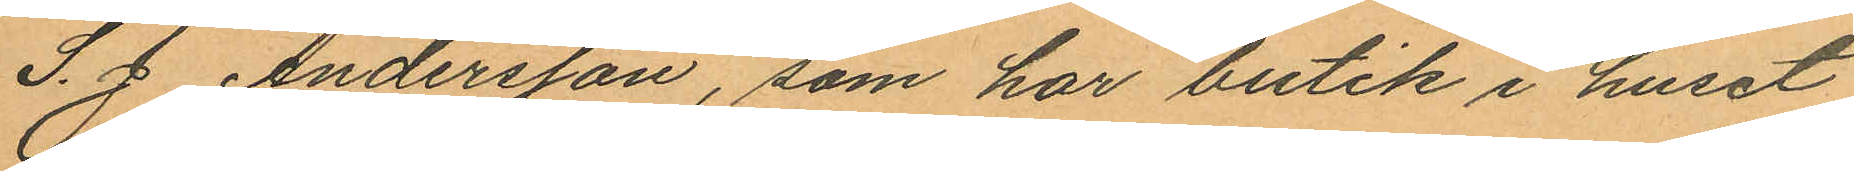S. J. Andersson, som har butik i huset
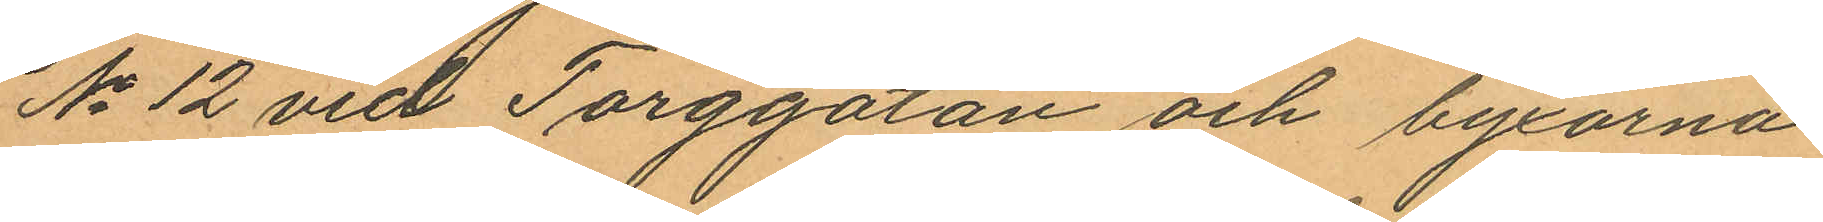No 12 vid Torggatan och byxorna
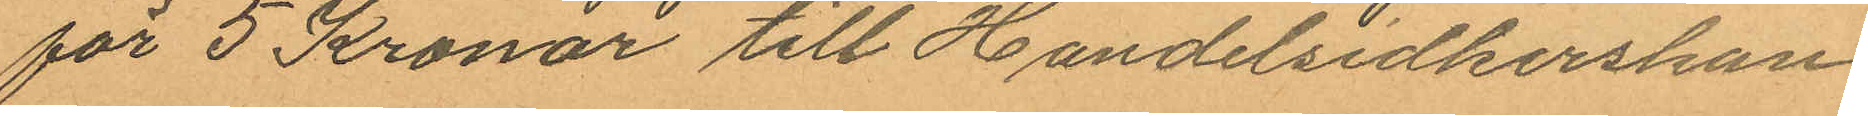för 5 Kronor till Handelsidkerskan
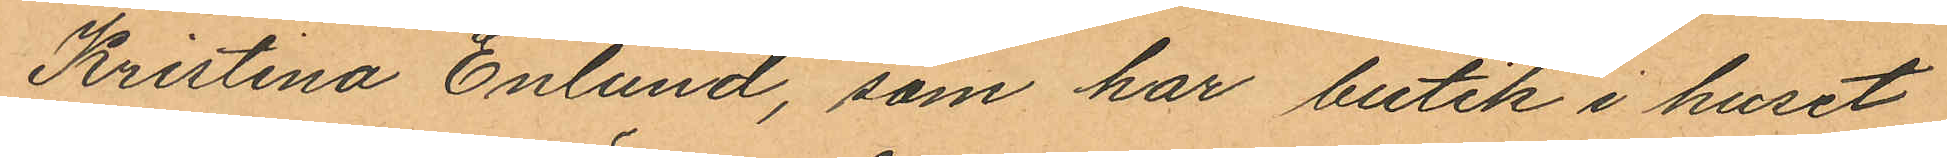Kristina Enlund, som har butik i huset
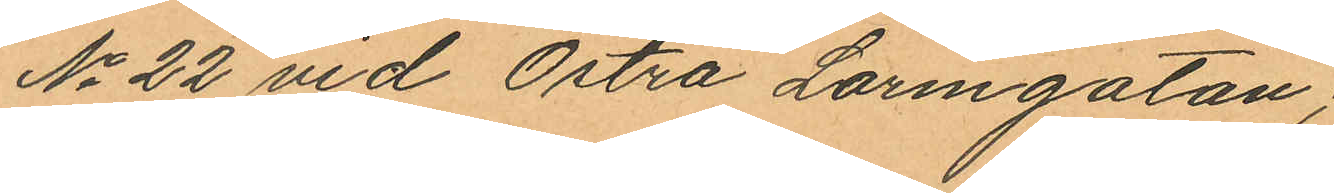No 22 vid Östra Larmgatan;
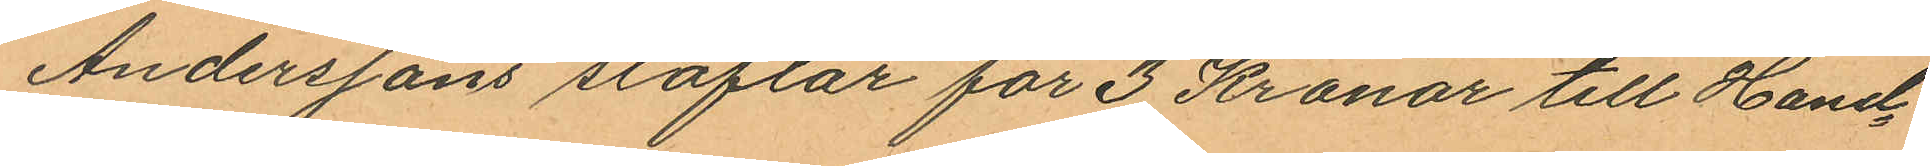Anderssons stöflar för 3 Kronor till Hand¬
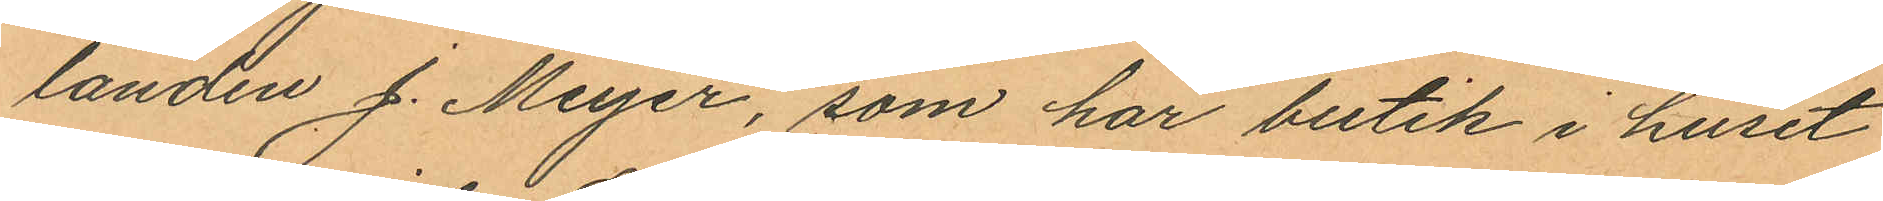landen J. Meyer, som har butik i huset
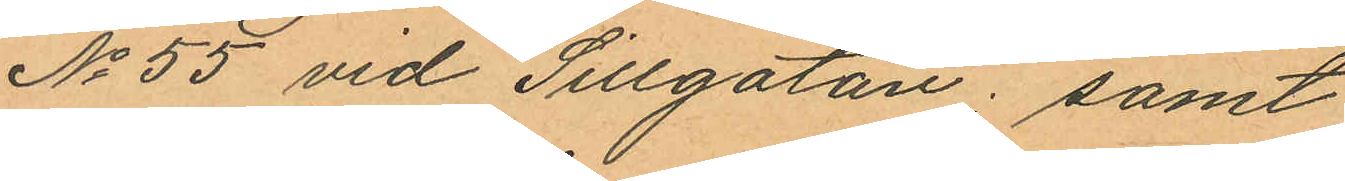No 55 vid Sillgatan; samt
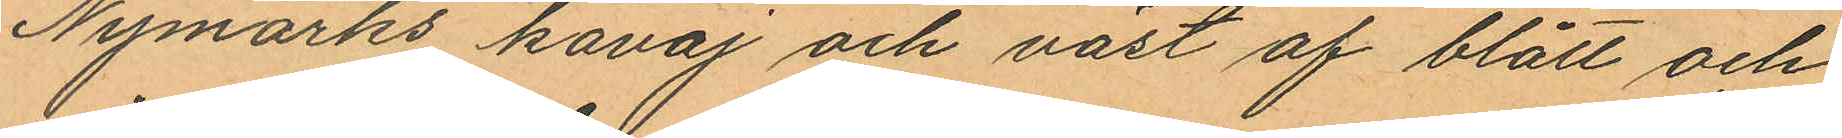Nymarks kavaj och väst af blått och
